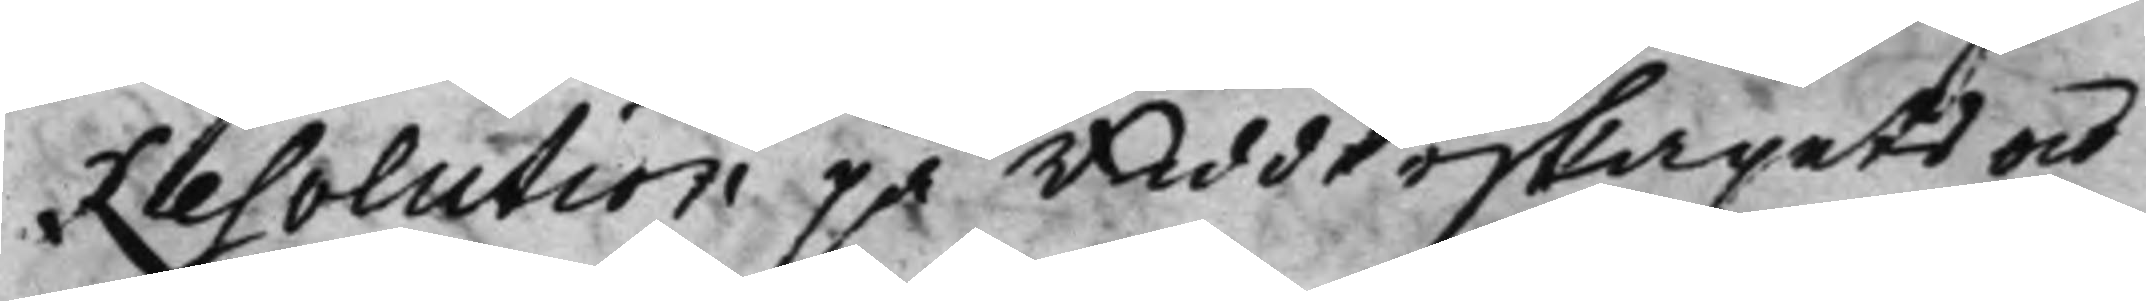Resolution på Ridderskapets och
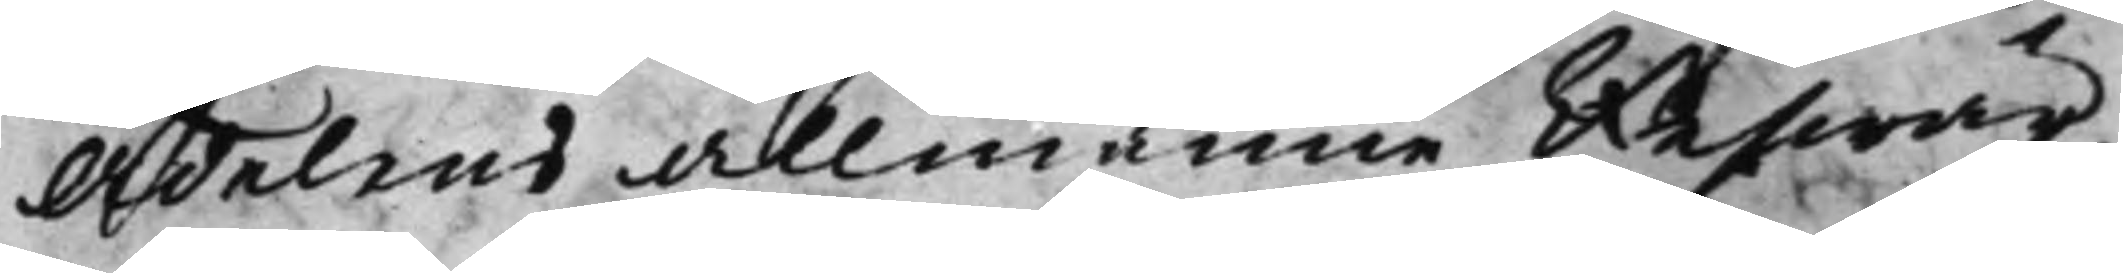Adelens allmänne Beswär,
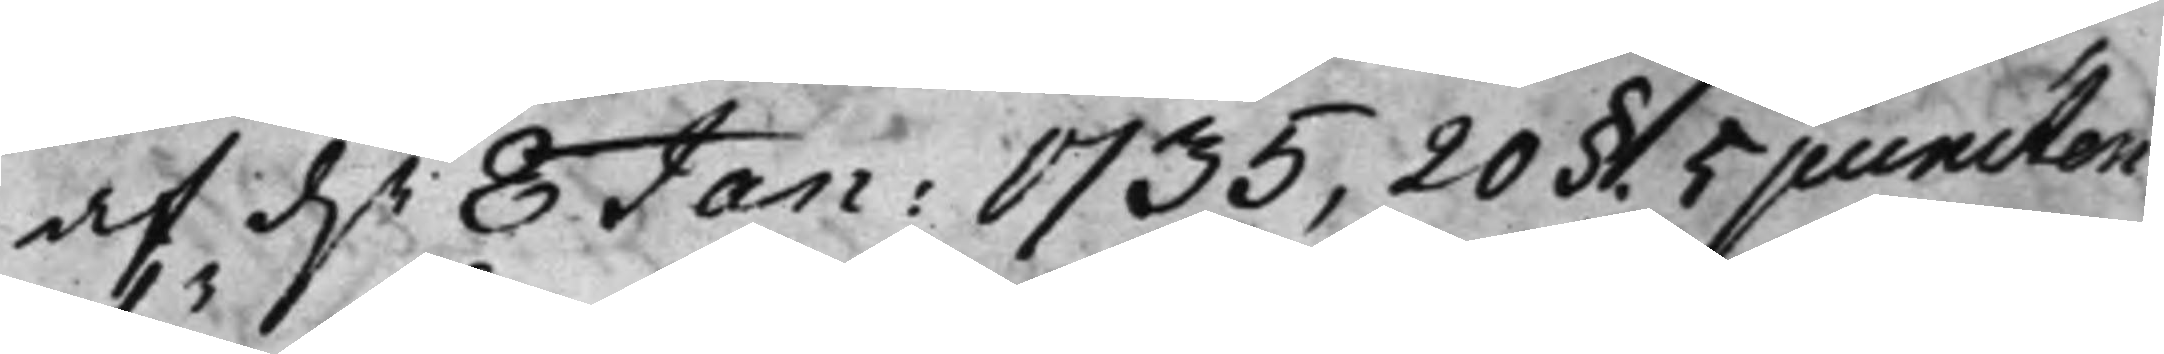af d.n 8 Jan: 1735, 20§. 5 puncten
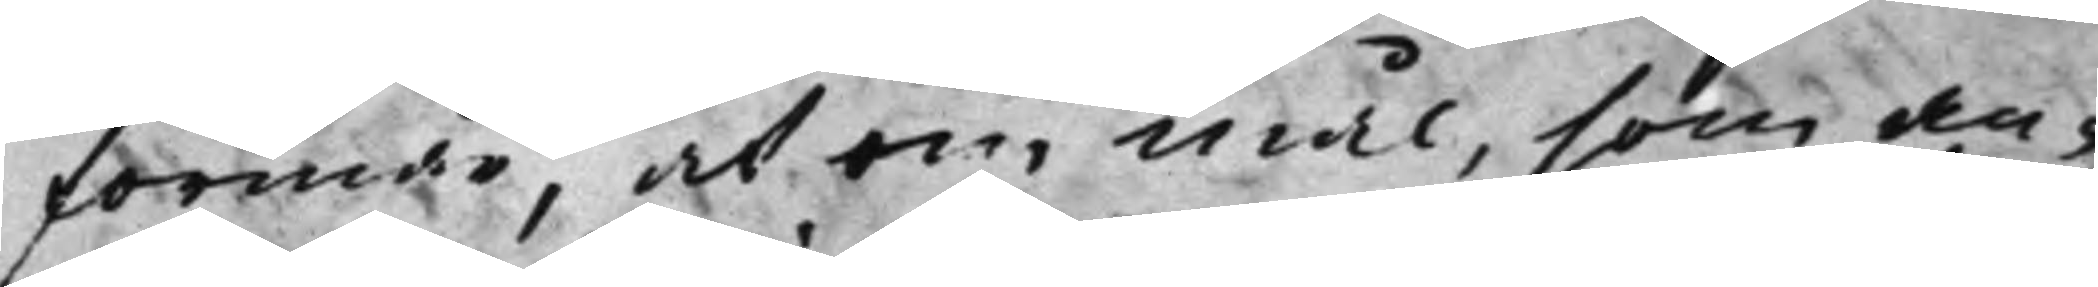förmår, at om mål, som an¬
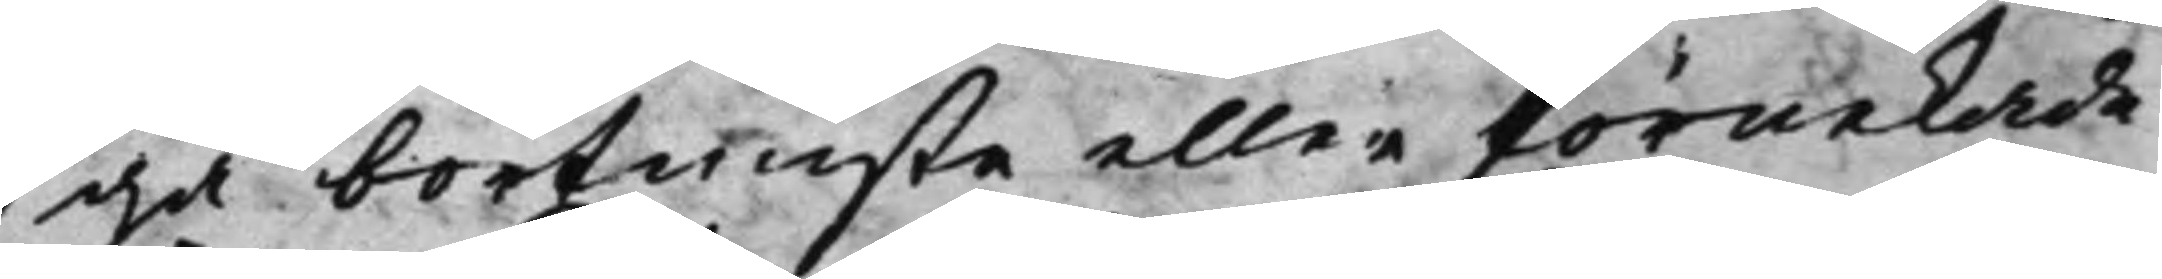gå bortwiste eller förnekade
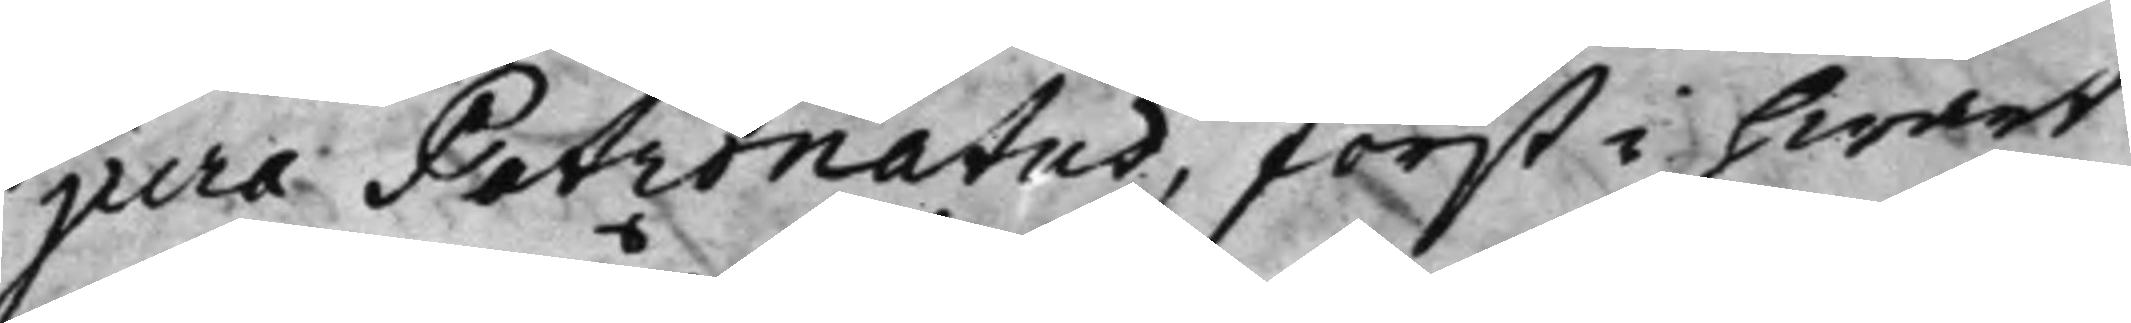jura Patronatus, först i hwart
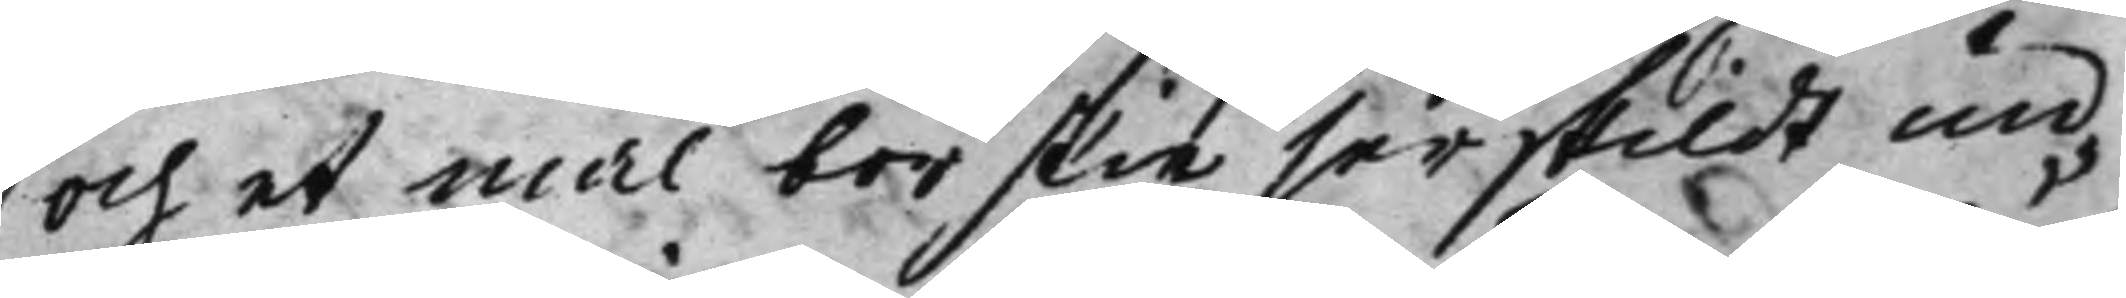och et mål bör skie serskildt un¬
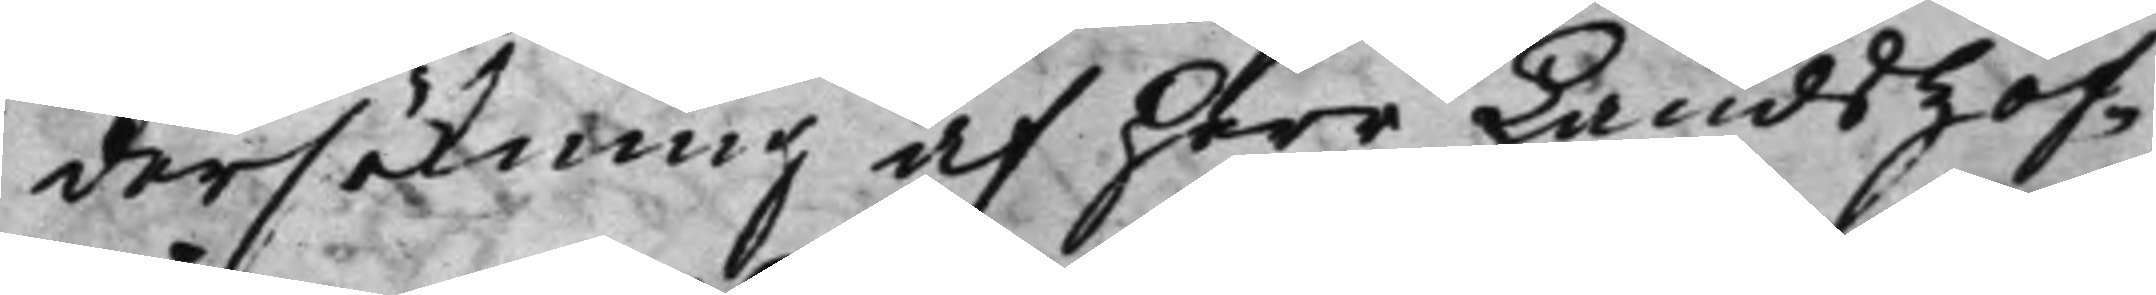dersökning af Herr Landshöf¬
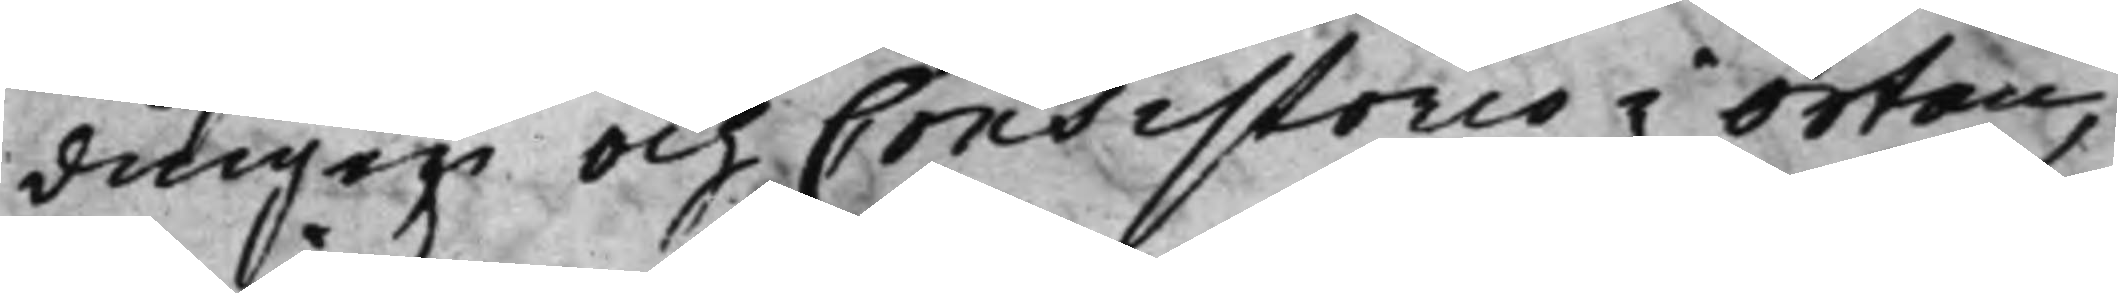dingen och Consistorio i Orten,
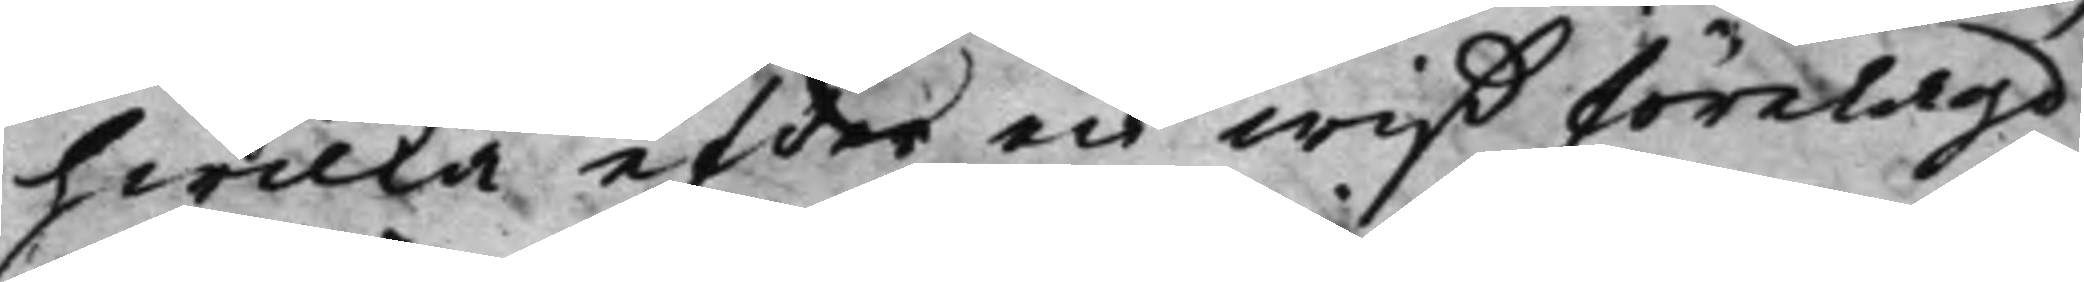hwilka efter en wiß förelagd
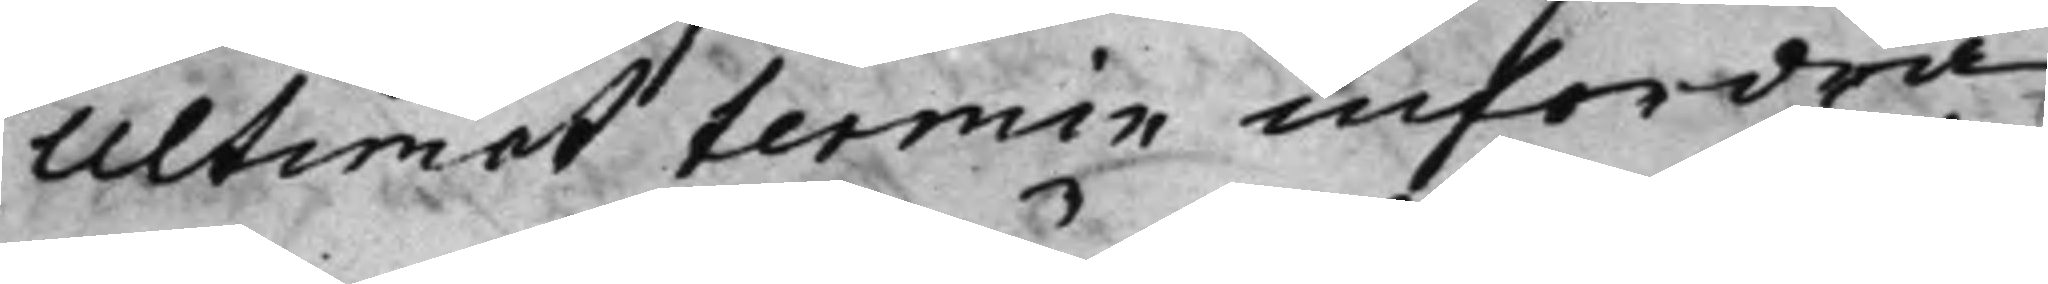Ultimat termin infordra
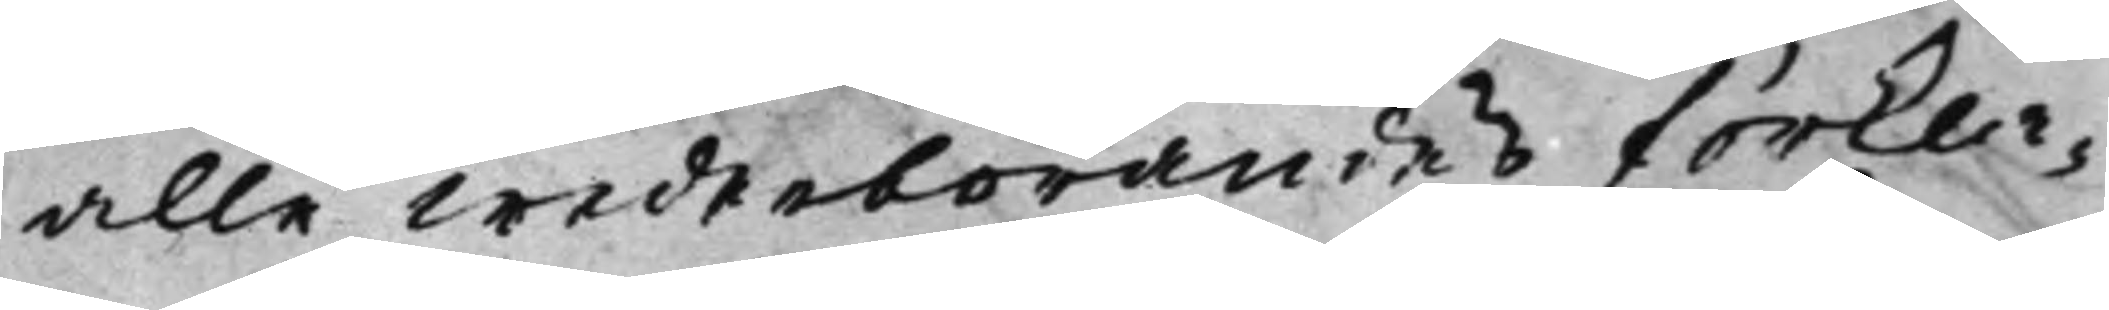alle wederbörandes förkla¬
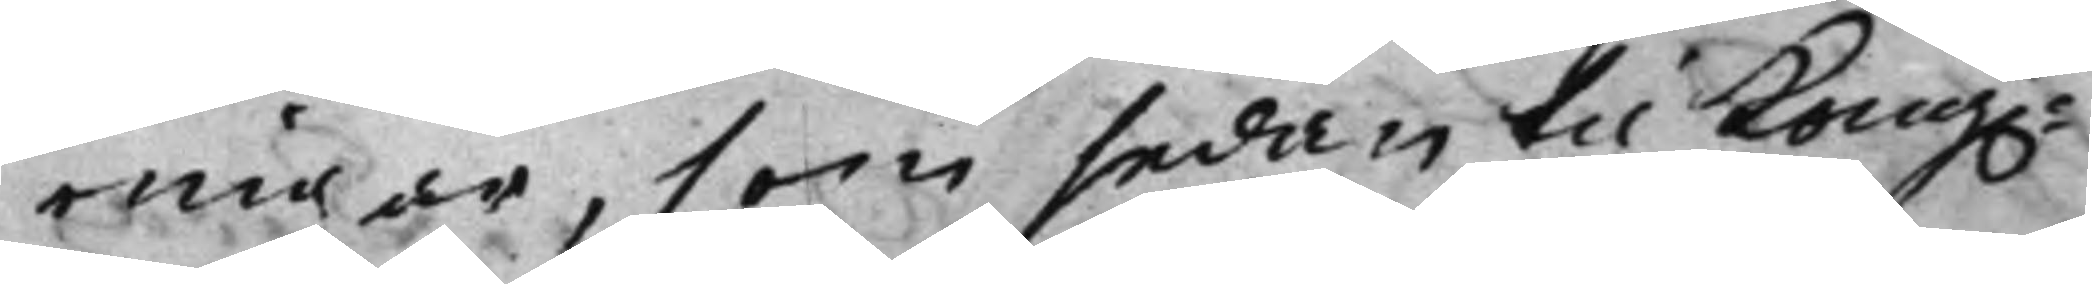ringar, som sedan til Kong.e
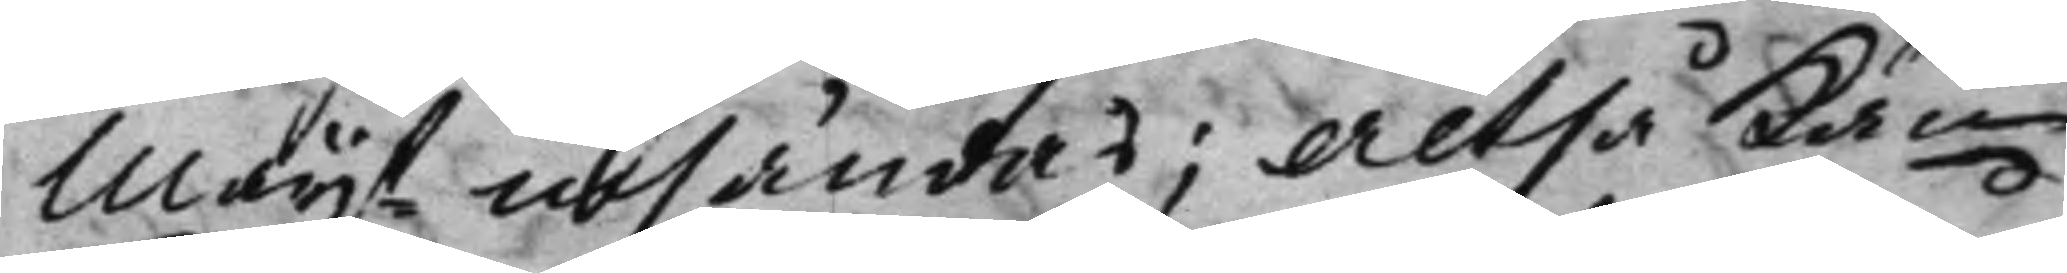Maijt insändas; Altså kan
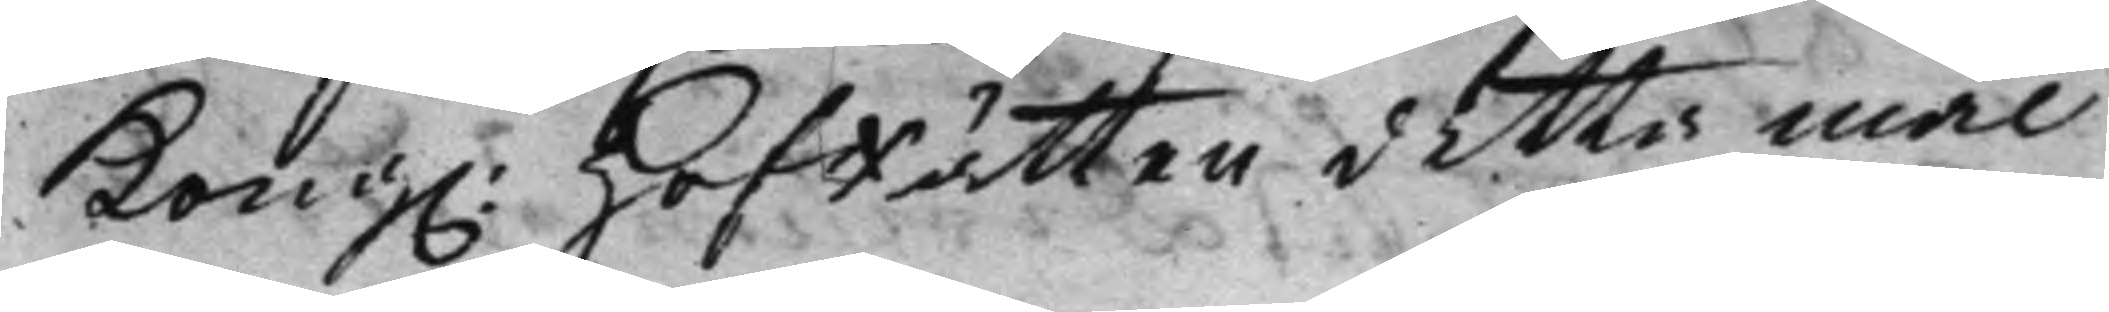Kong.  HofRätten detta mål
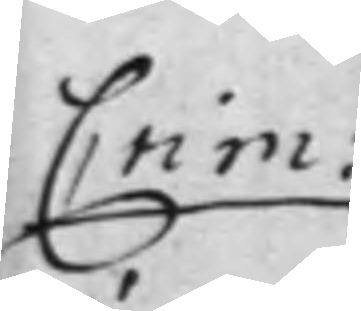Crim:
